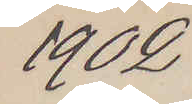1902
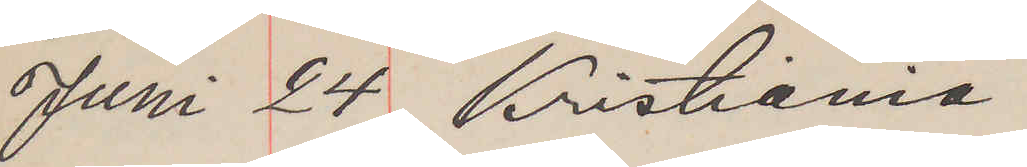Juni 24 Kristiania
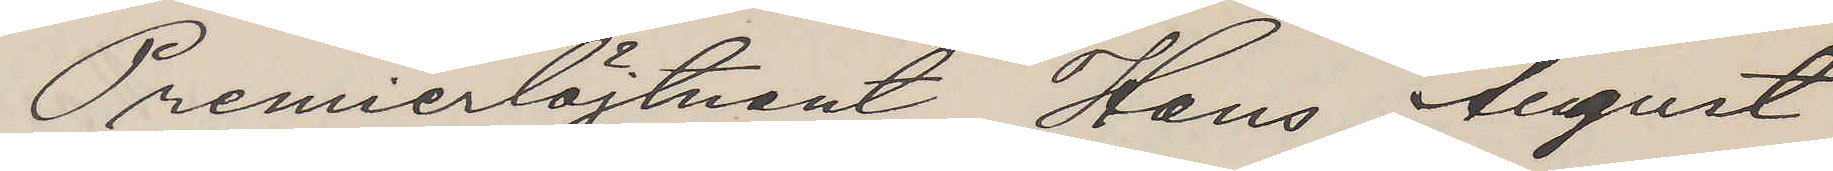Premierlöjtnant Hans August
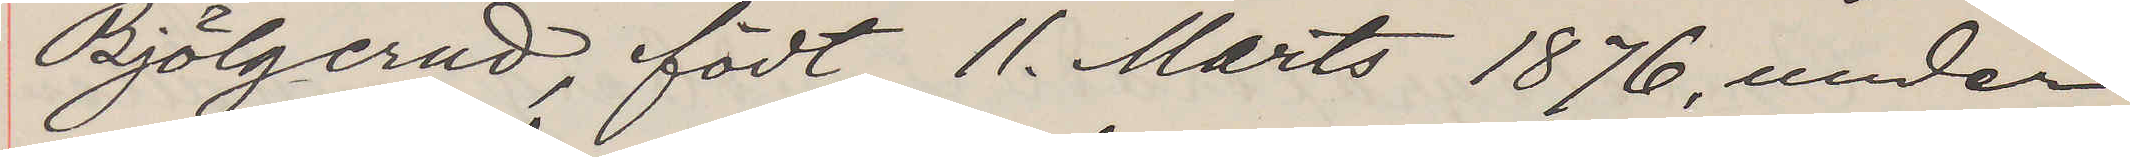Bjölgerud, födt 11 Marts 1876, under
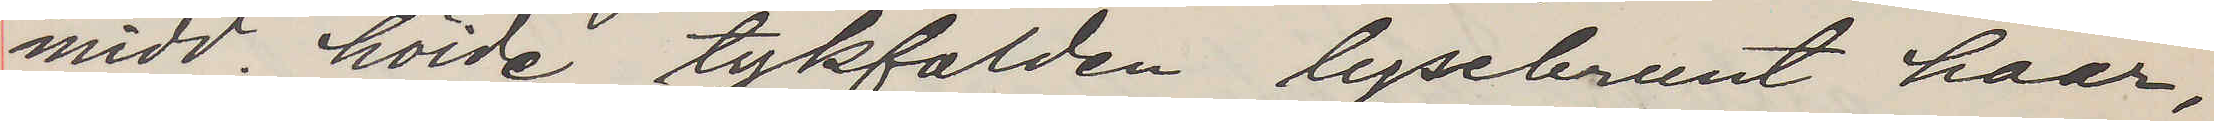midd. höide, tykfalden, lysebrunt haar,
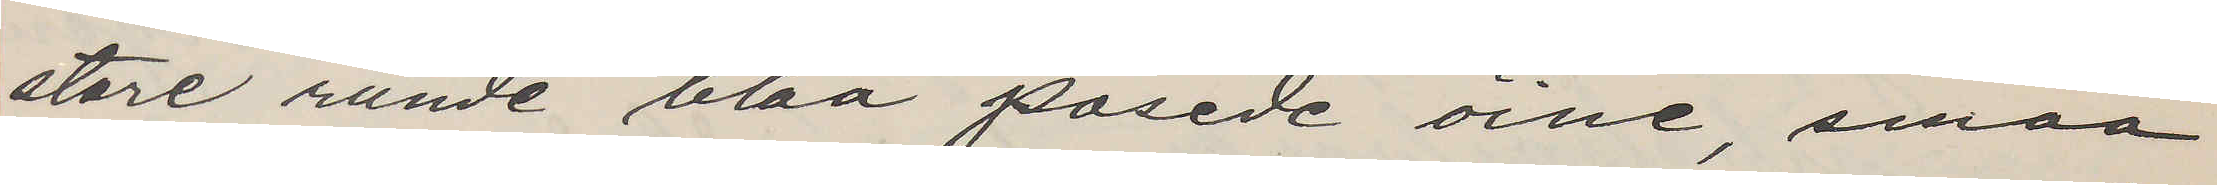store runde blaa posede öine, smaa
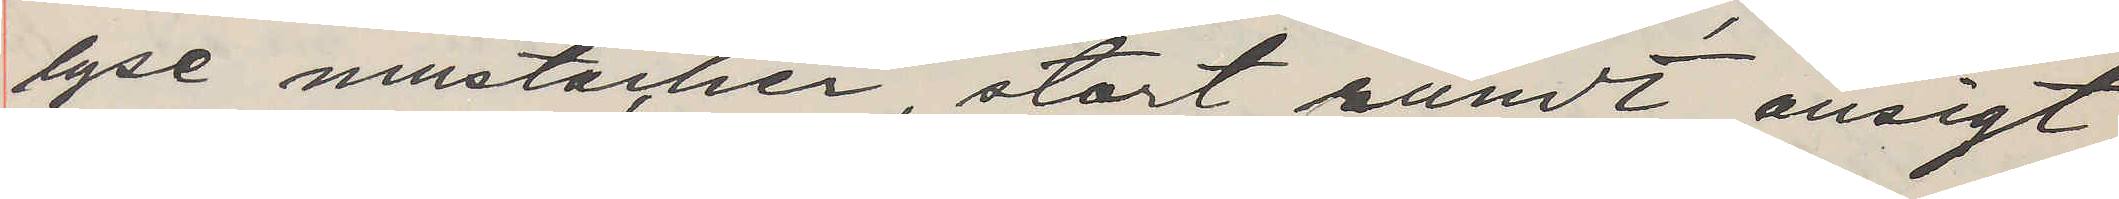lyse mustacher, stort rundt ansigt,
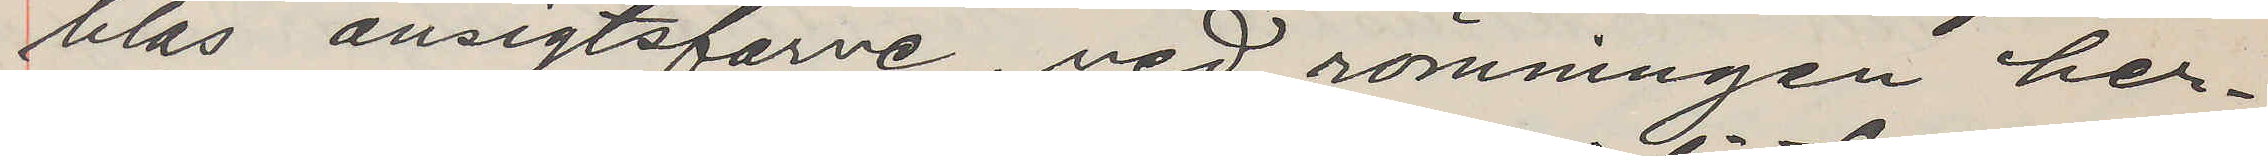blas ansigtsfarve, ved römningen her¬
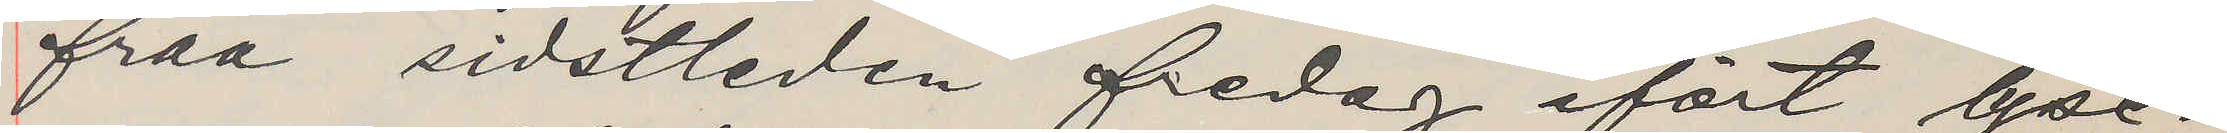fraa sidstleden fredag ifört lyse¬
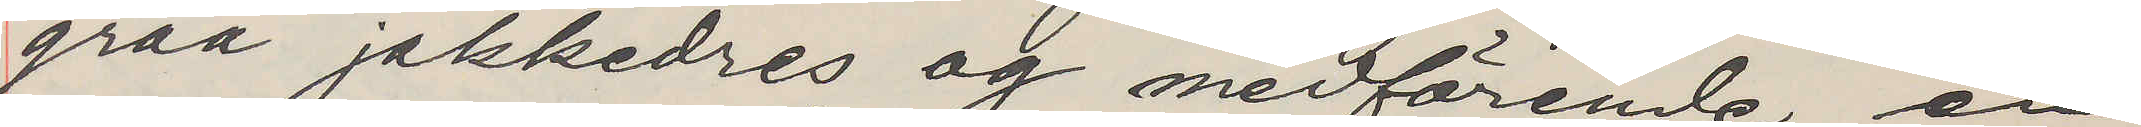graa jakkedres og medförende en
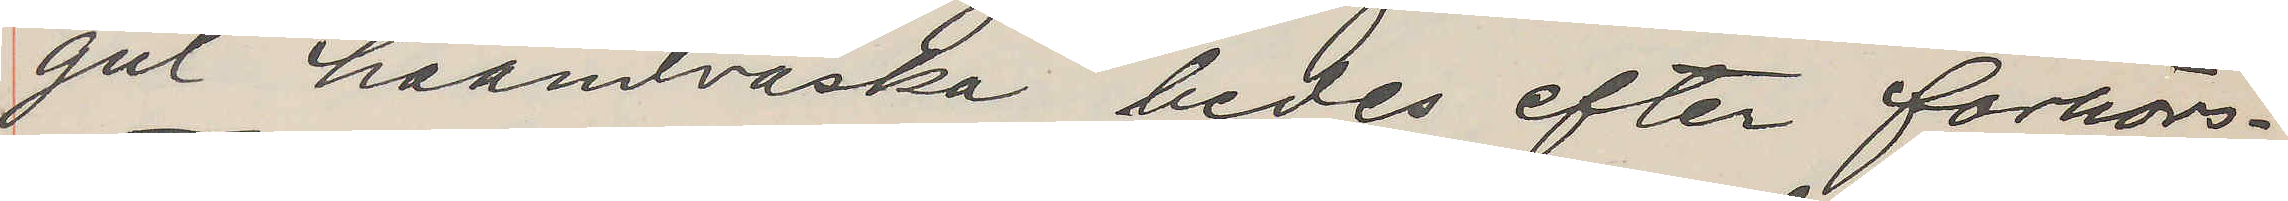gul haandväska bedes efter forhörs¬
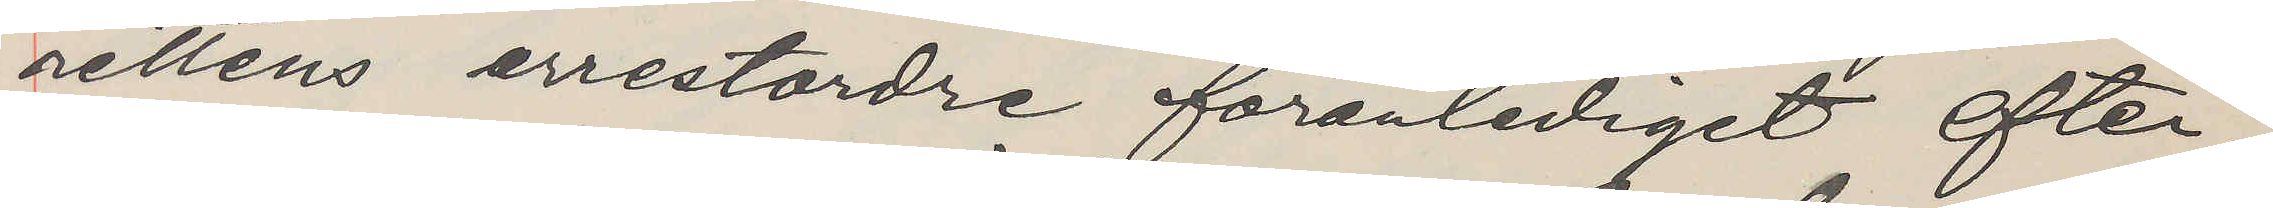rettens arrestordre foranlediget efter¬
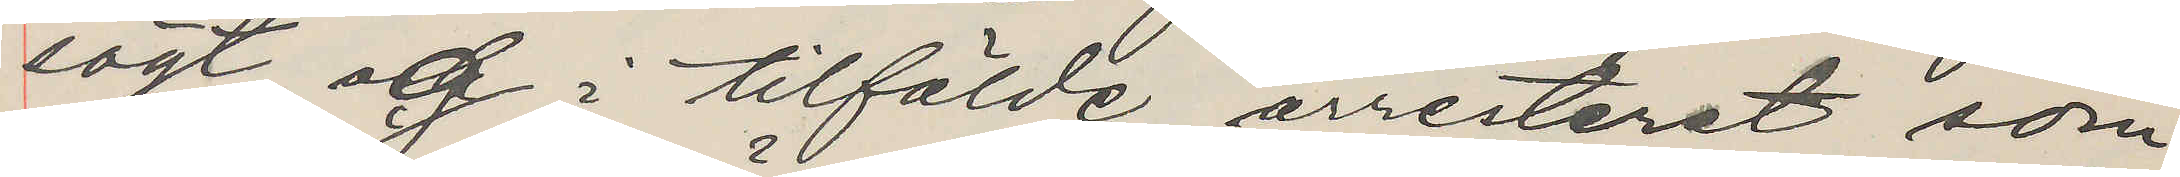sögt og i tilfälde arresteret som
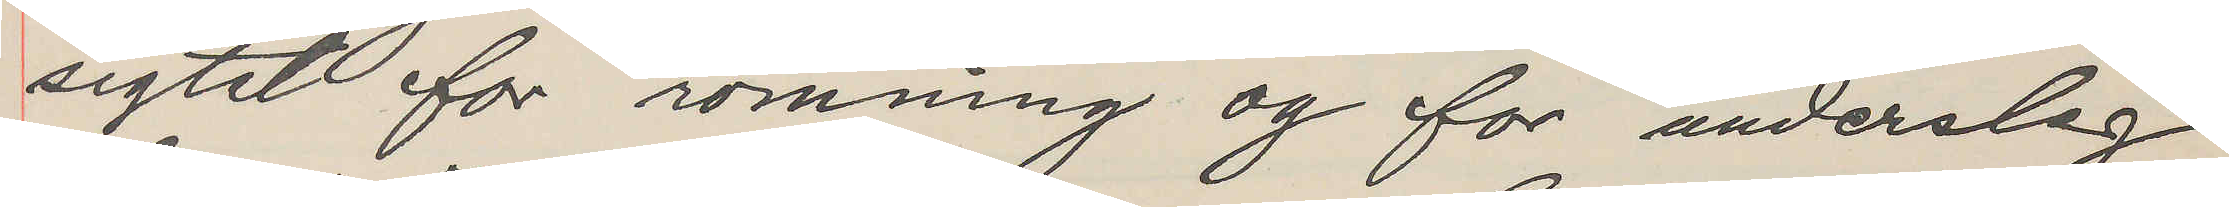sigtet for römning og for underslag
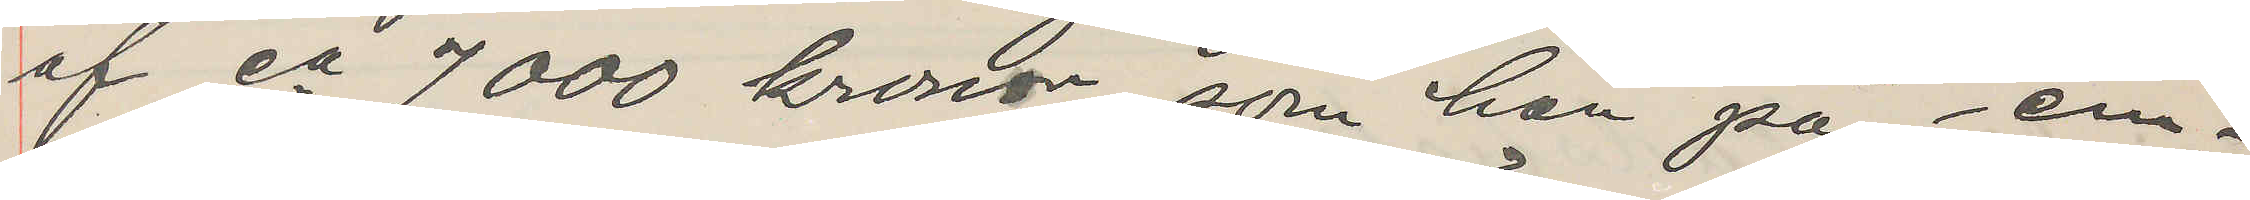af ca 7000 kronor, som han på em¬
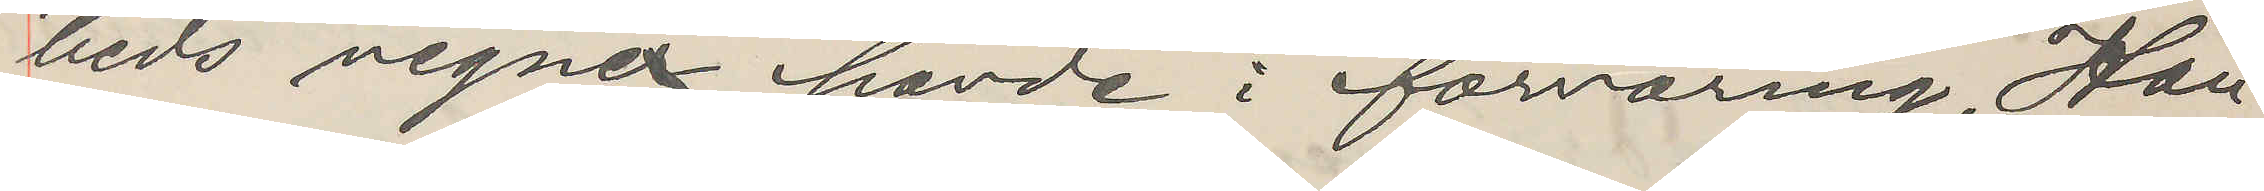beds vegne havde i förvaring. Han
